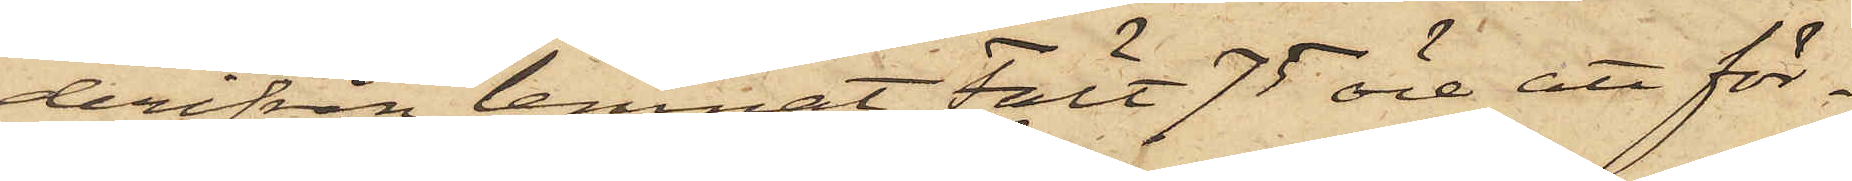derifrån lemnat Fält 75 öre att för¬
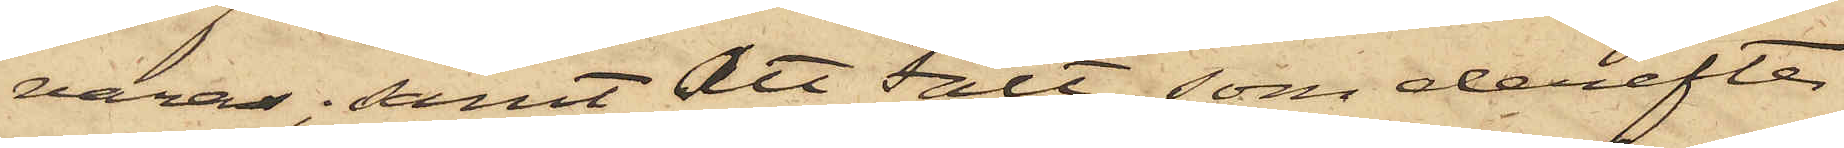varas; samt att Fält, som derefter
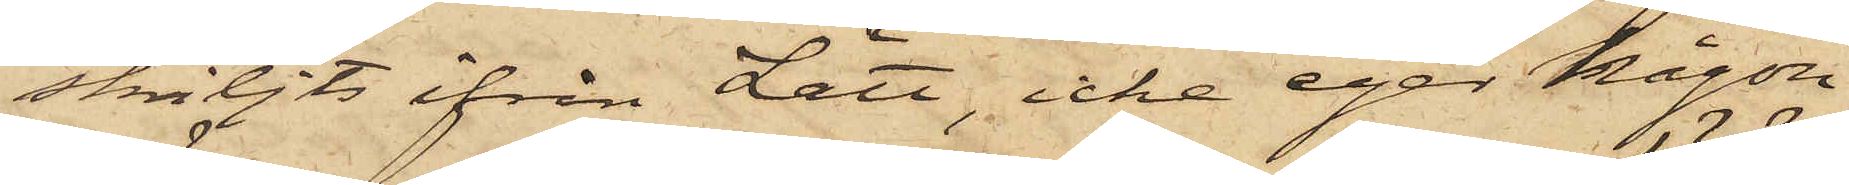skiljts ifrån Lätt, icke eger någon
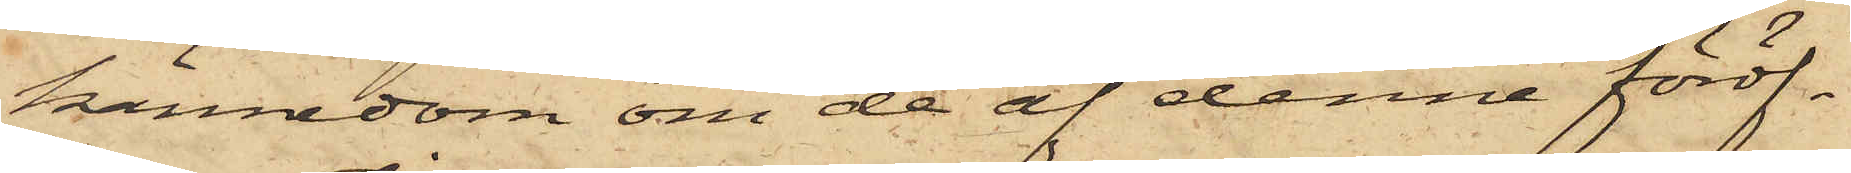kännedom om de af denne föröf¬
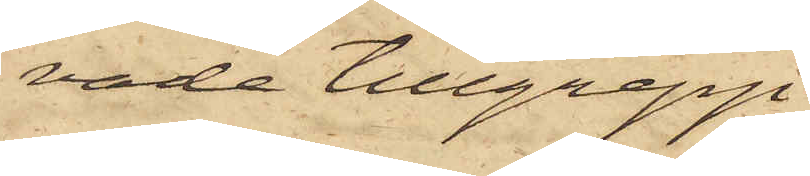vade tillgrepp
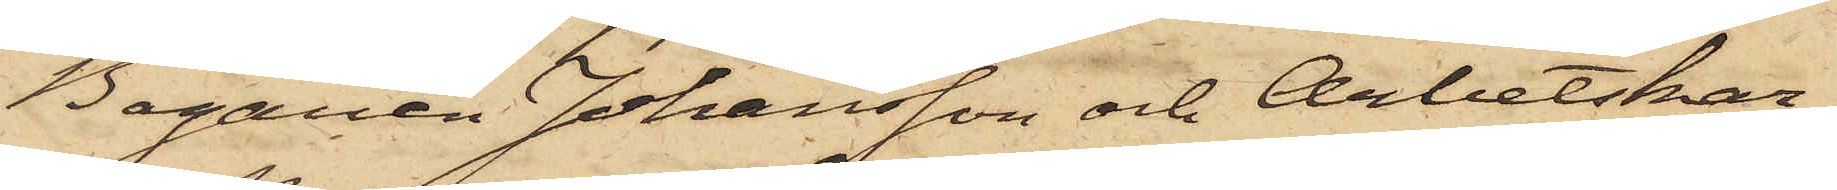Bagaren Johansson och Arbetskar¬
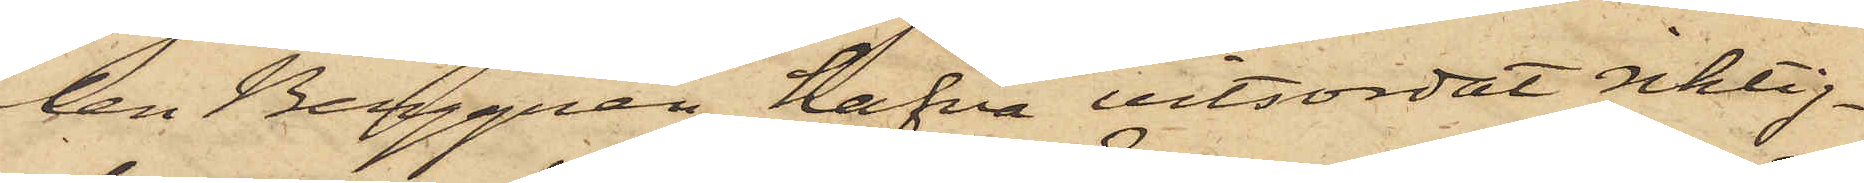len Berggren hafva vitsordat riktig¬
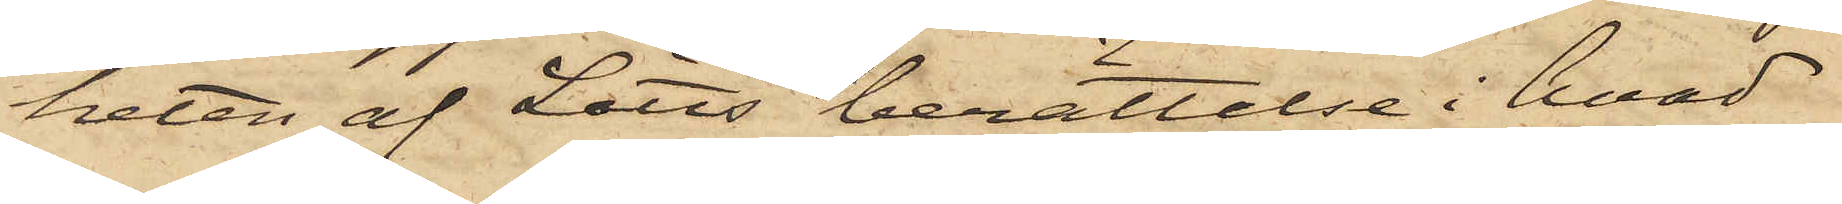heten af Lätts berättelse i hvad
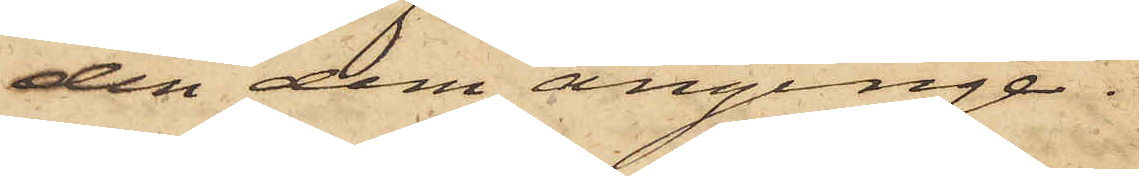den dem anginge.
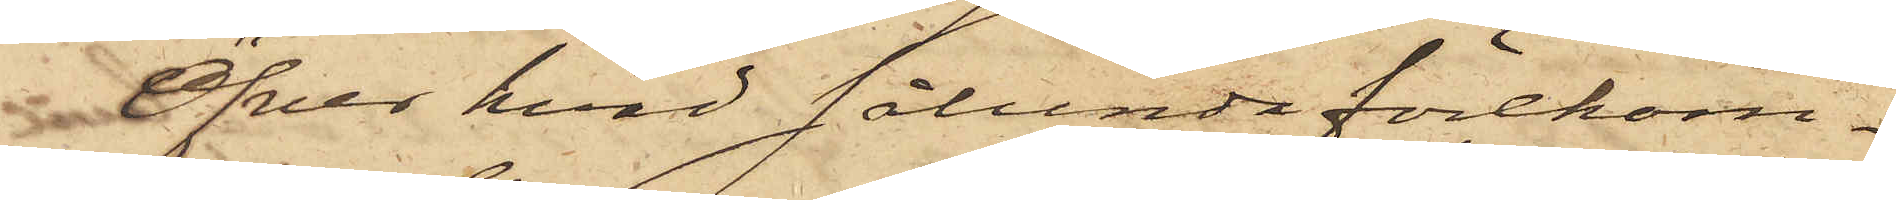Öfver hvad sålunda förekom¬
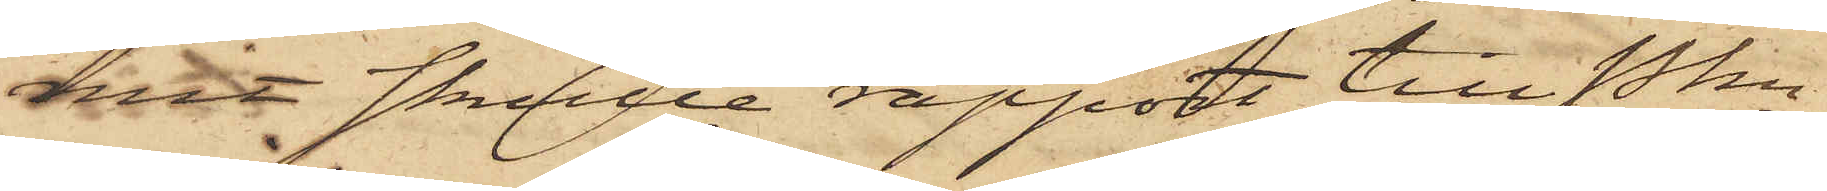mit skulle rapport till Pkn
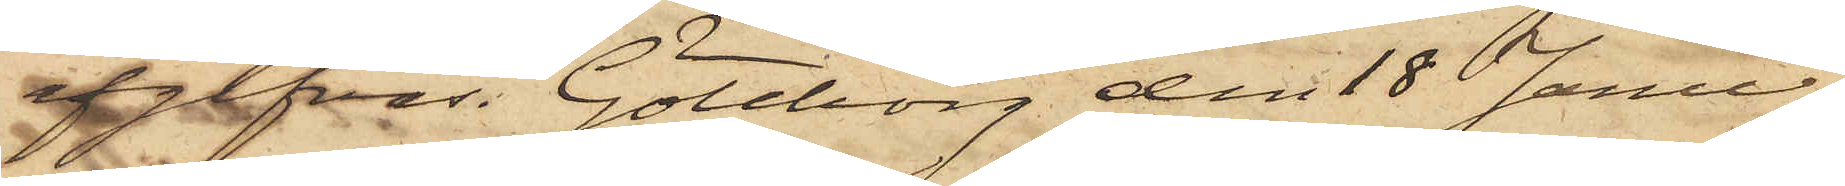afgifvas. Göteborg den 18 Janu¬
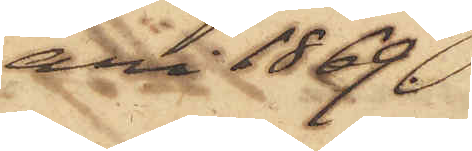ari 1869.
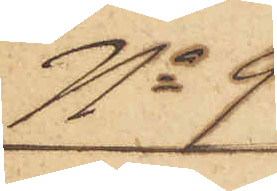No 9
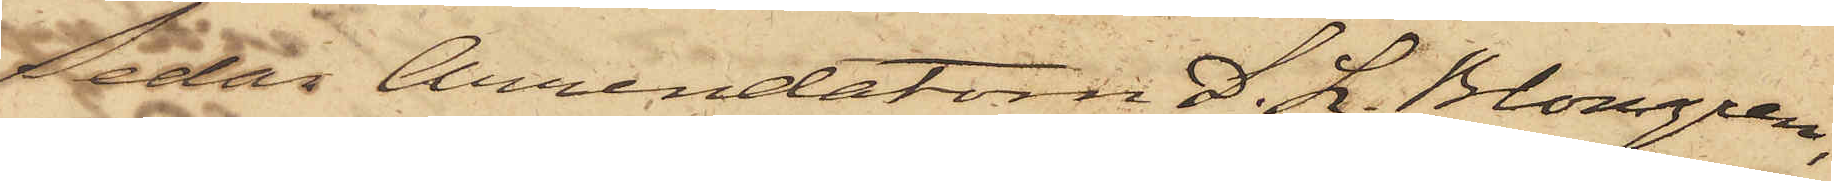Sedan Arrendatorn D. L. Blomgren,
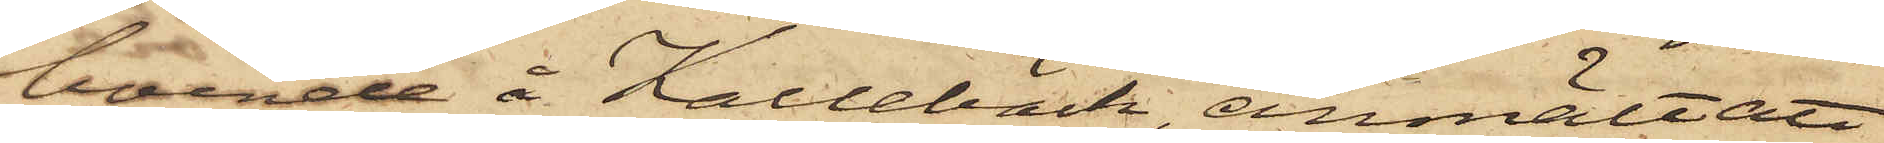boende å Kallebäck, anmält att
